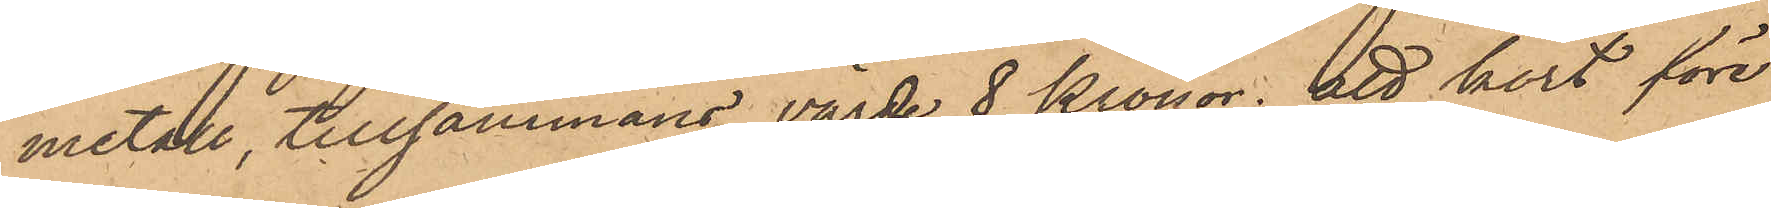metall, tillsammans värde 8 Kronor; att kort före
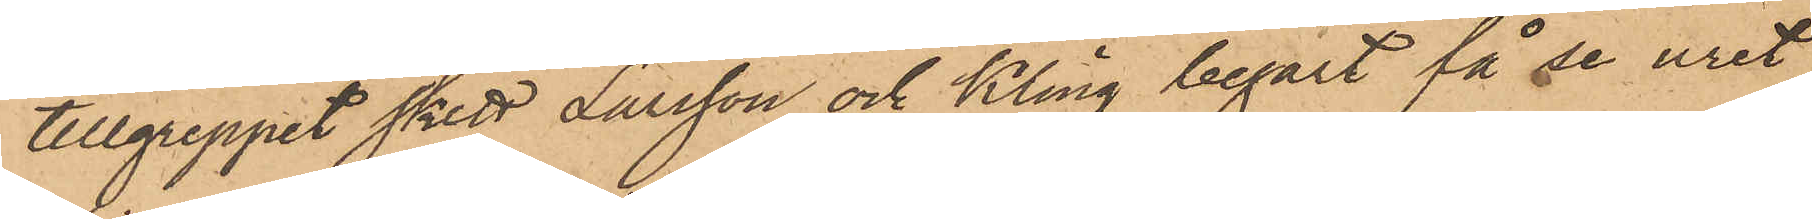tillgreppet skett Larsson och Kling begärt få se uret,
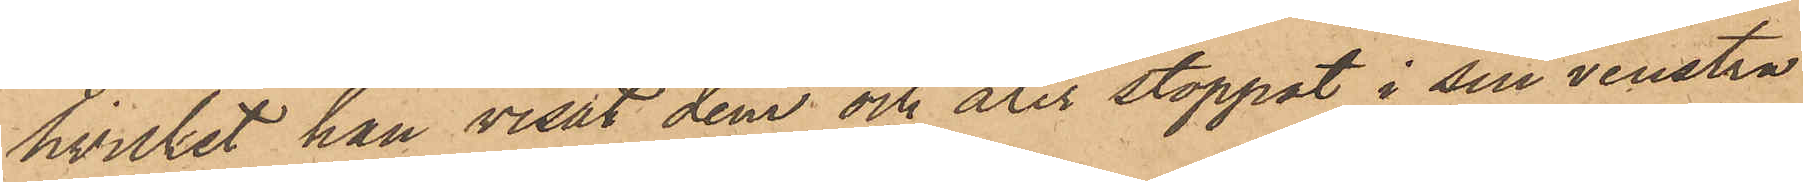hvilket han visat dem och åter stoppat i sin venstra
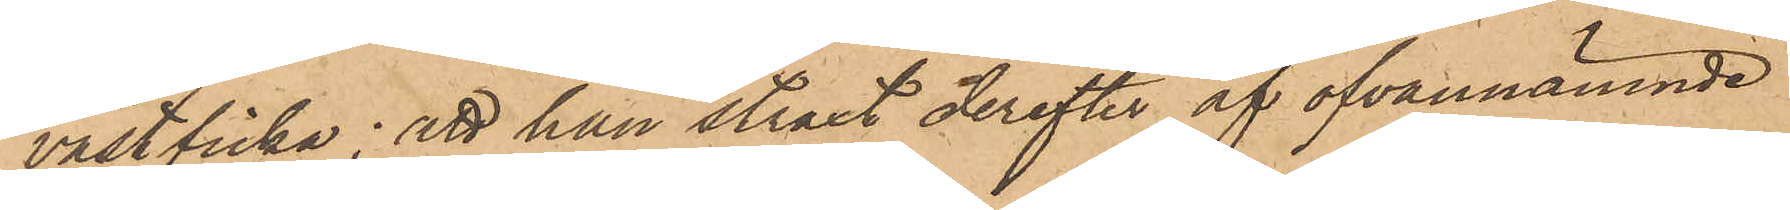västficka; att han straxt derefter af ofvannämnde
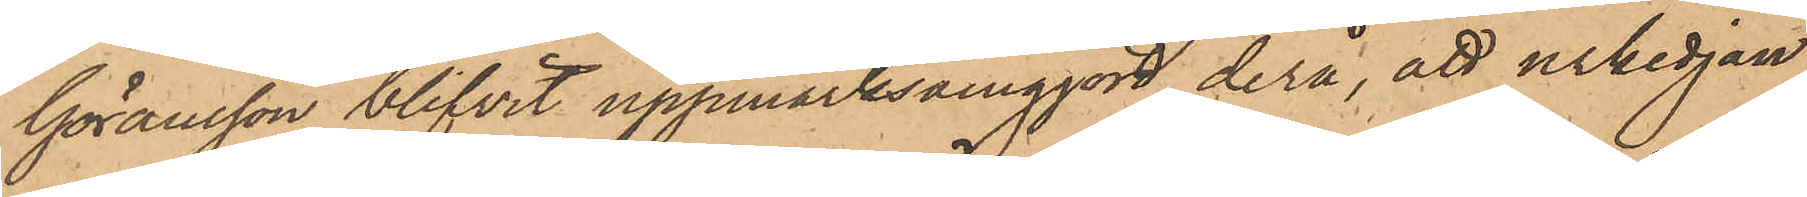Göransson blifvit uppmärksamgjord derå, att urkedjan
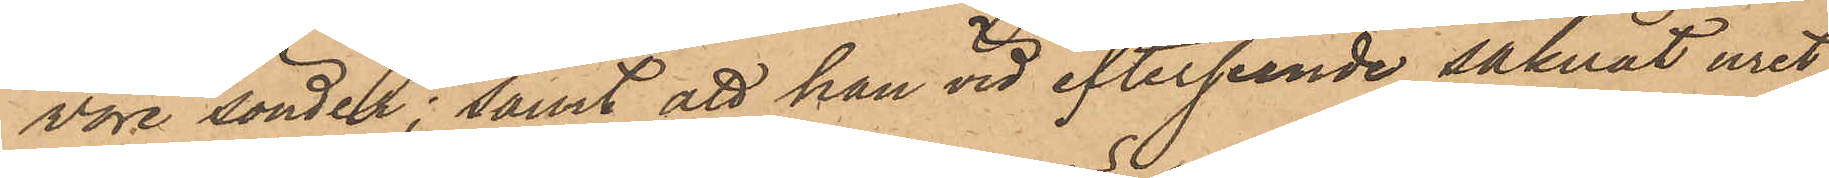vore sönder; samt att han vid efterseende saknat uret,
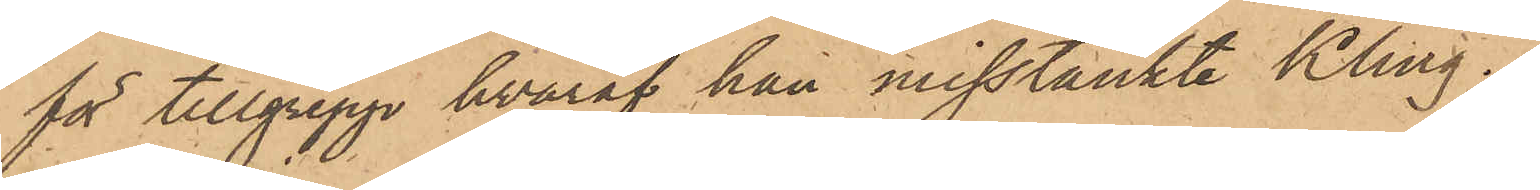för tillgrepp hvaraf han misstänkte Kling.
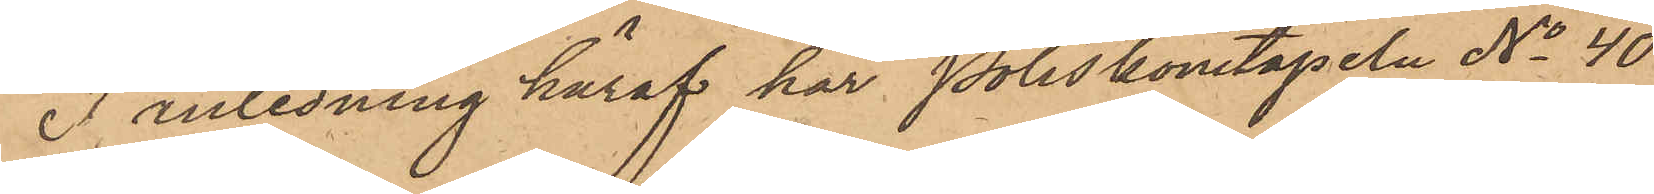I anledning häraf har Poliskonstapeln No 40
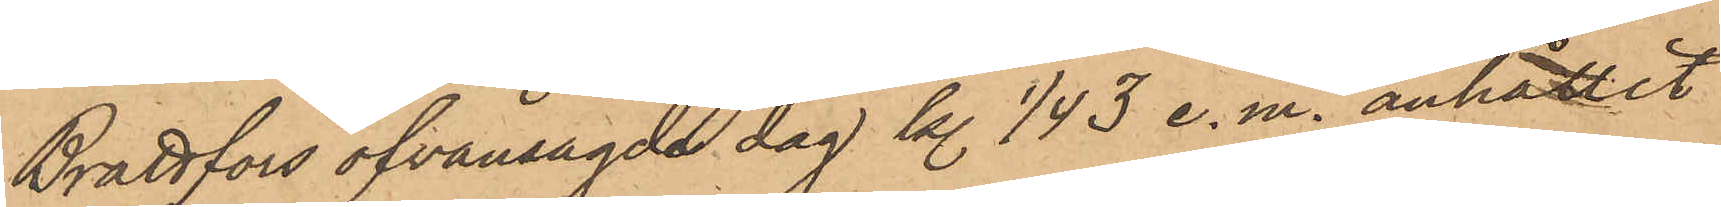Brattfors ofvansagde dag kl. 1/4 3 e.m. anhållit
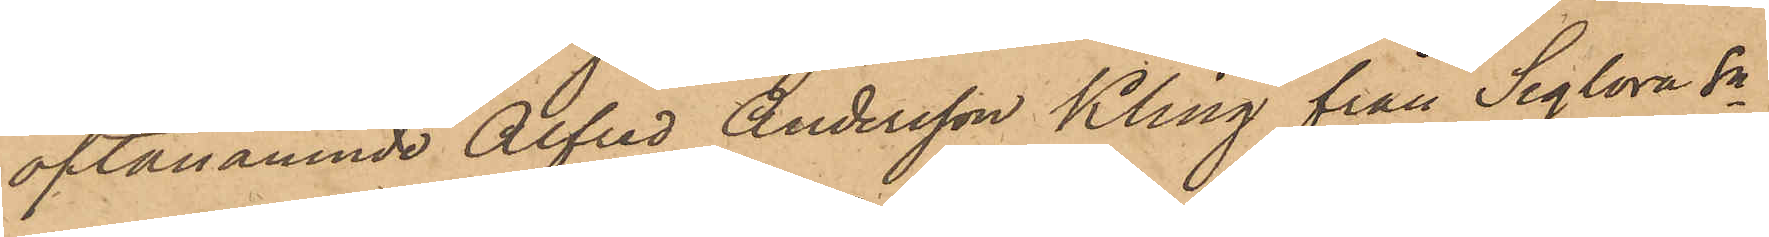oftanämnde Alfred Andersson Kling från Seglora sn
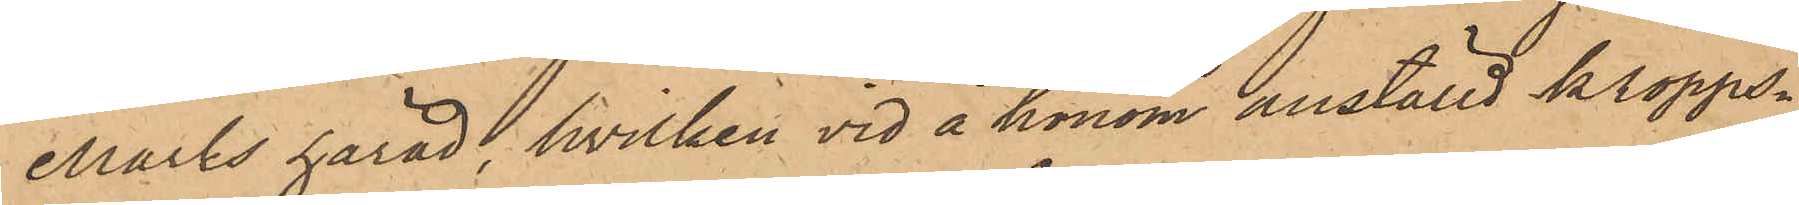Marks härad, hvilken vid å honom anställd kropps¬
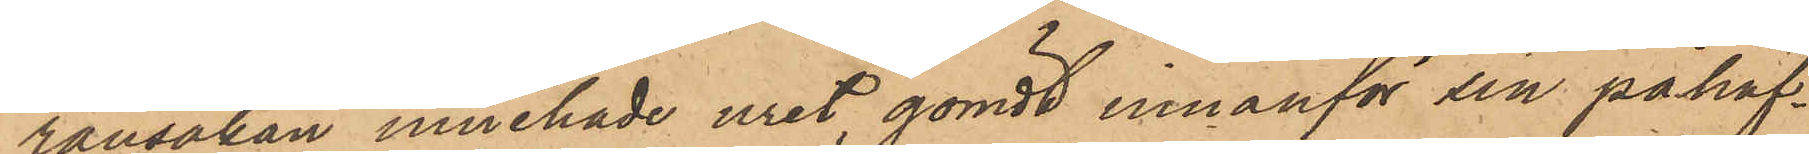ransakan innehade uret, gömdt innanför sin påhaf¬
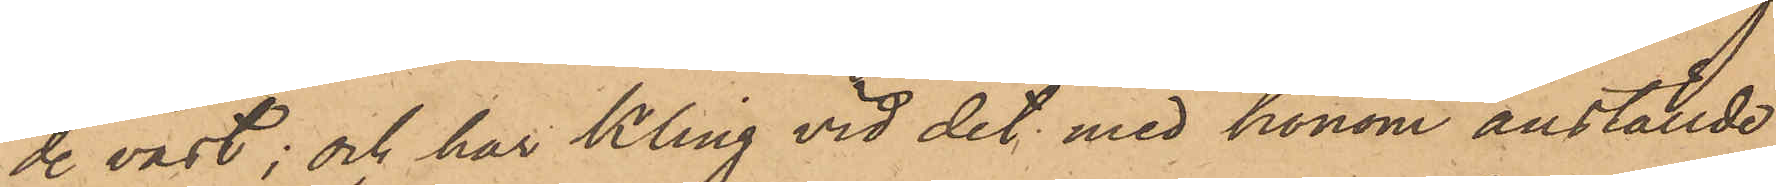de väst; och har Kling vid det med honom anställde
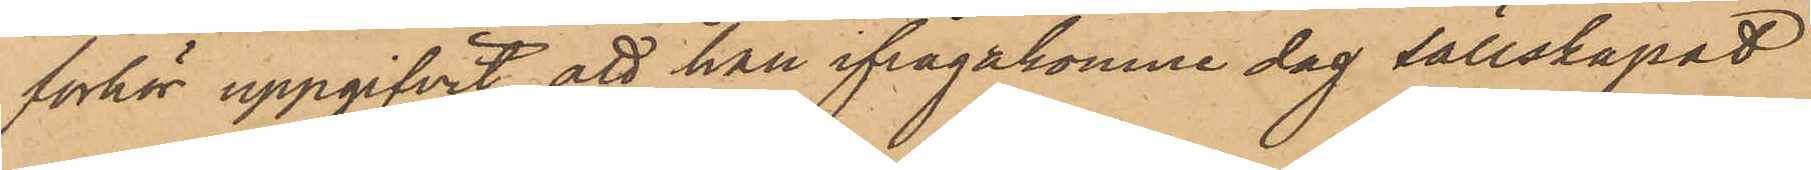förhör uppgifvit, att han ifrågakomne dag sällskapat
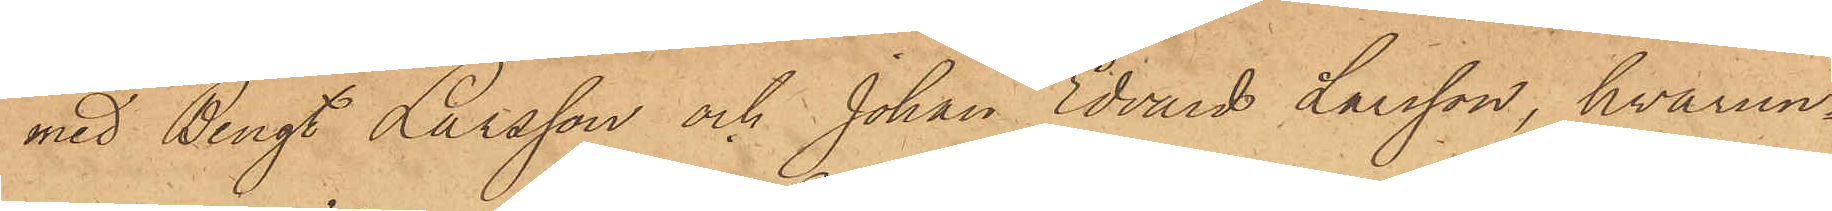med Bengt Larsson och Johan Edvard Larsson, hvarun¬
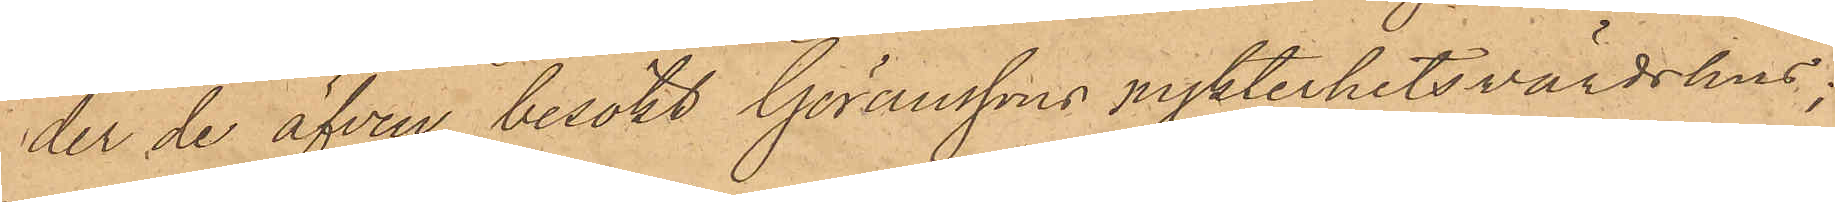der de äfven besökt Göranssons nykterhetsvärdshus;
